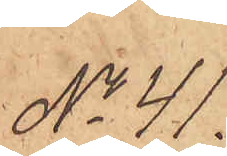No 41
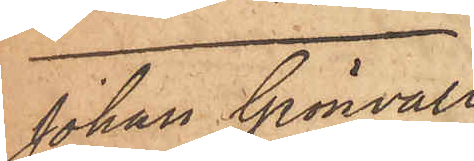Johan Grönvall
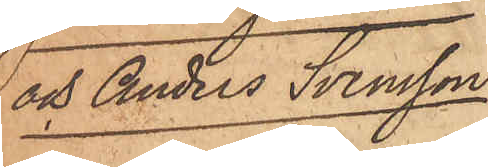och Anders Svensson.
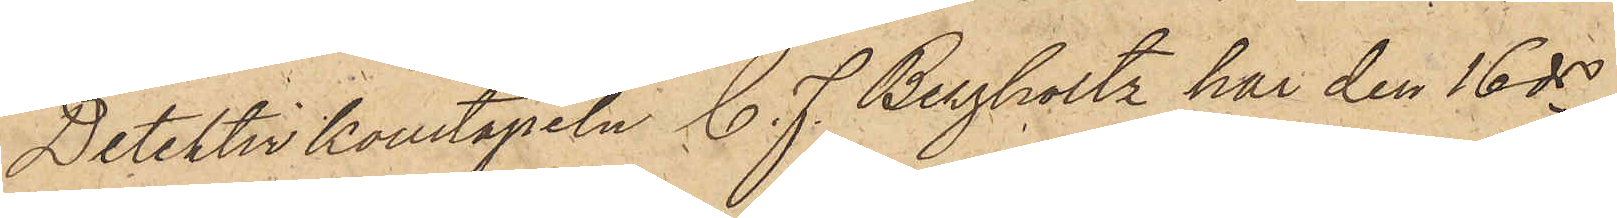Detektivkonstapeln C. J. Bergholtz har den 16 ds
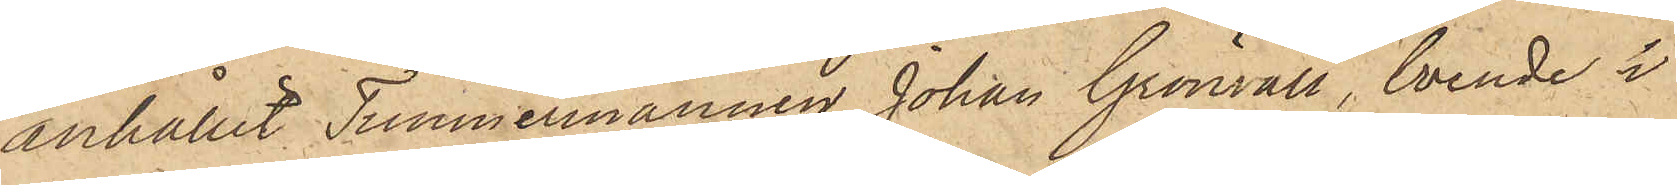anhållit Timmermannen Johan Grönvall, boende i
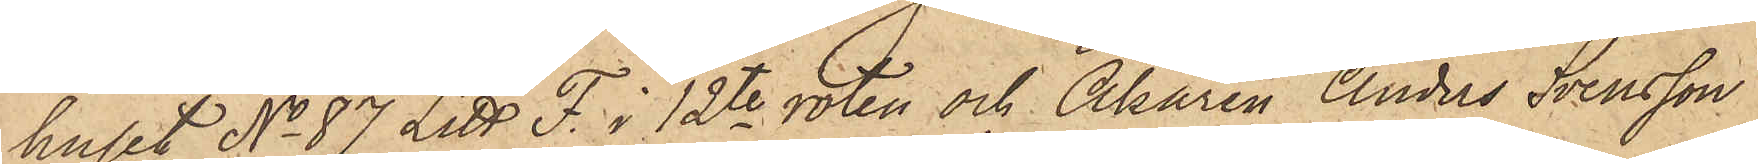huset No 87 Litt. F. i 12te roten och Åkaren Anders Svensson
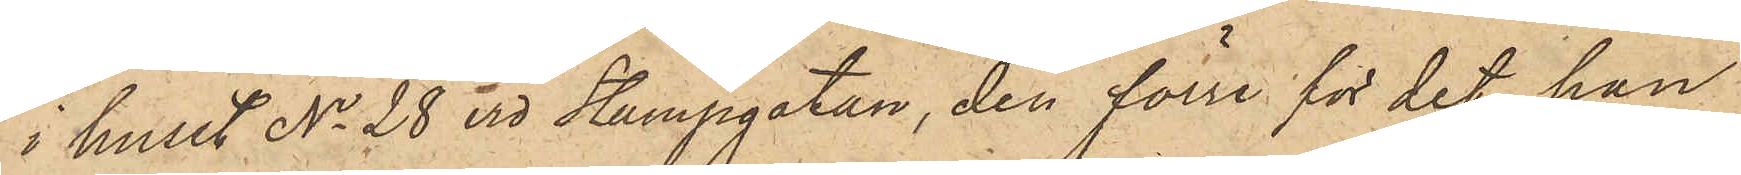i huset No 28 vid Stampgatan, den förre för det han
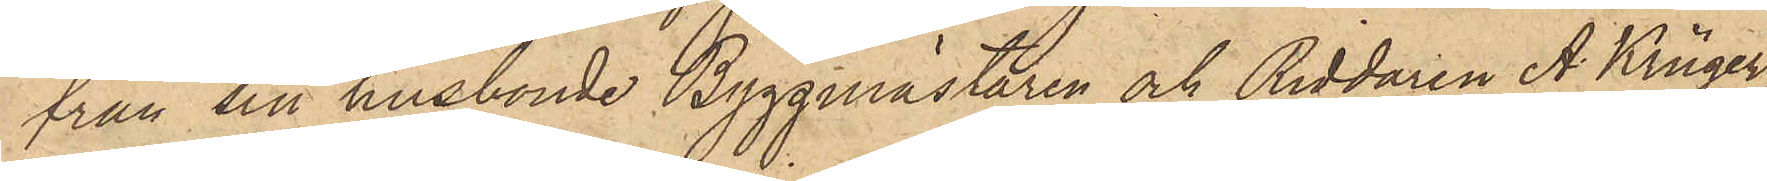från sin husbonde Byggmästaren och Riddaren A. Krüger,
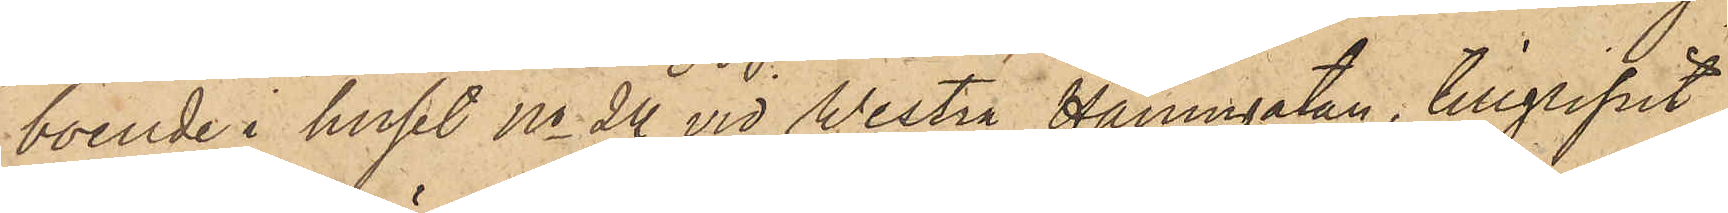boende i huset No 24 vid Westra Hamngatan, tillgripit
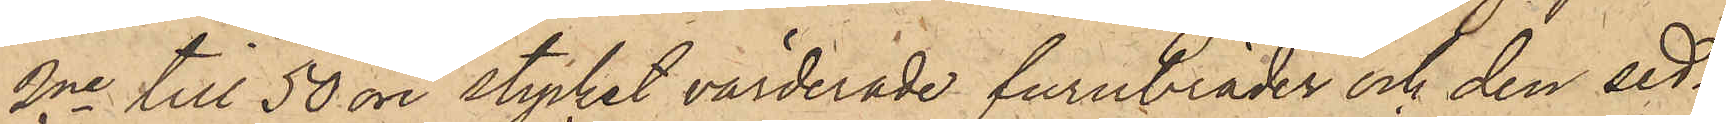2ne till 50 öre stycket värderade furubräder och den sed¬
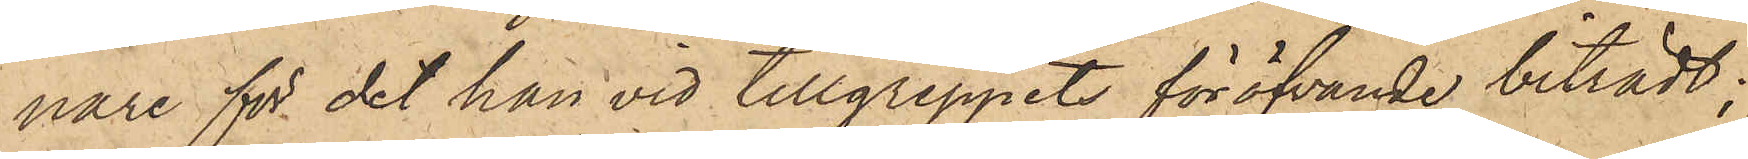nare för det han vid tillgreppets föröfvande biträdt;
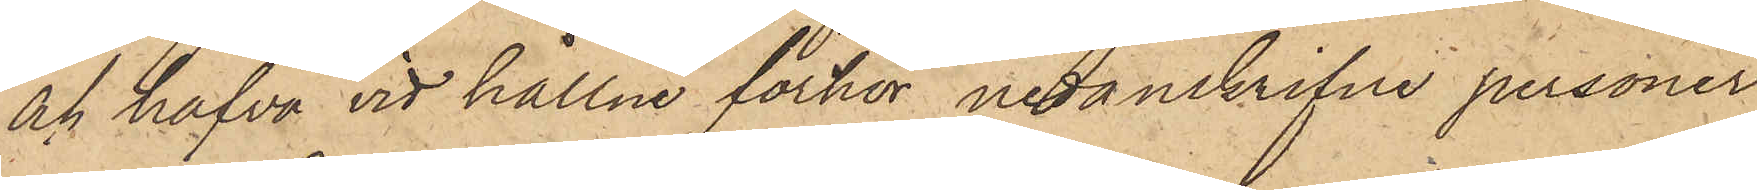och hafva vid hållne förhör nedanskrifne personer
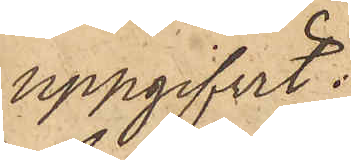uppgifvit:
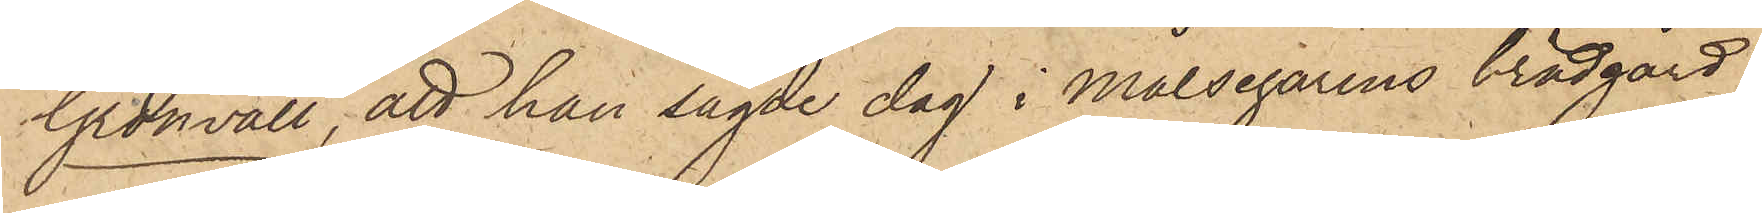Grönvall, att han sagde dag i Målsegarens brädgård
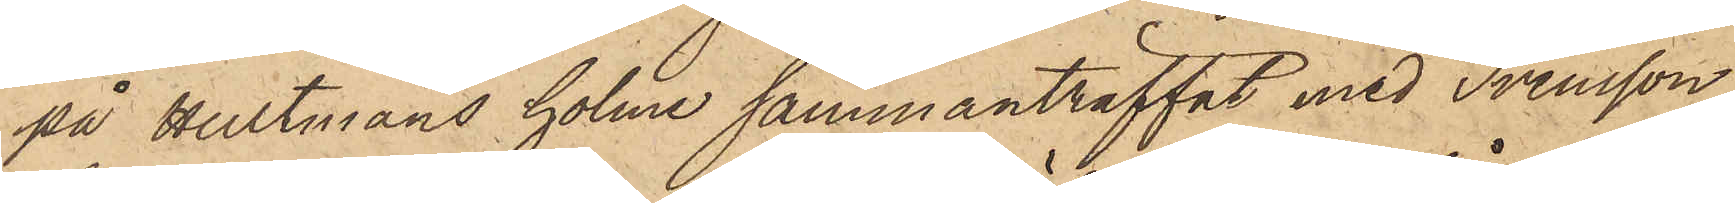på Hultmans holme sammanträffat med Svensson,
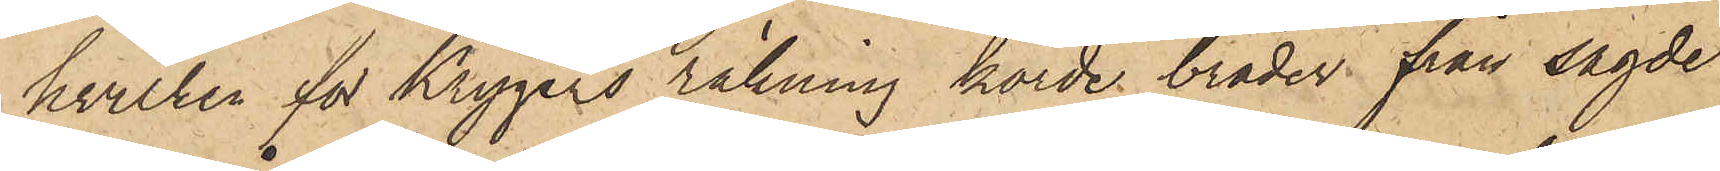hvilken för Krygers räkning körde bräder från sagde
